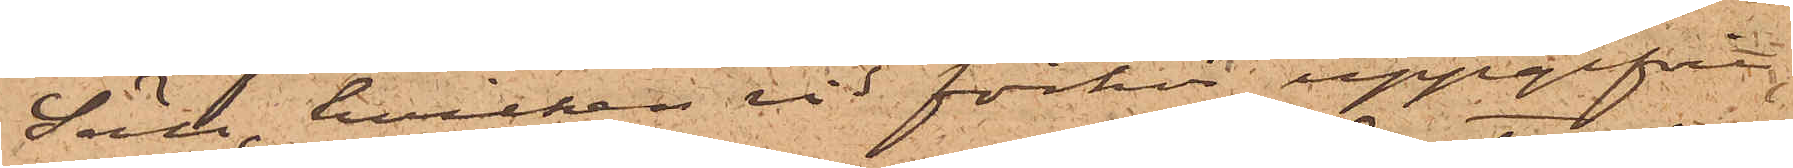Säll, hvilken vid förhör uppgifvit
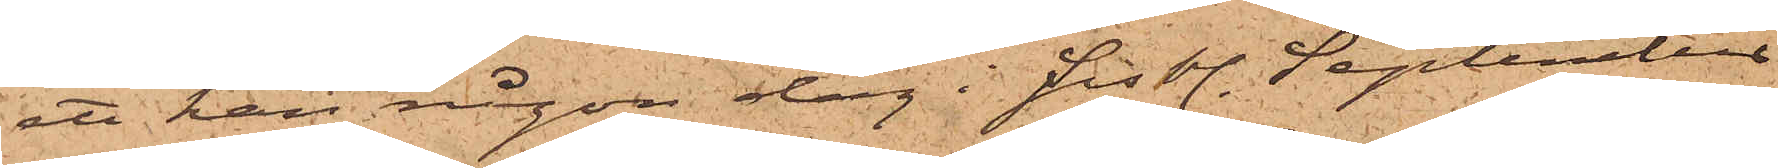att han någon dag i sistl. September
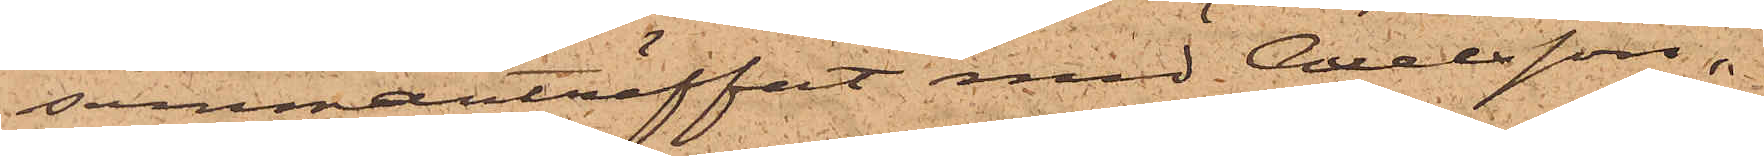sammanträffat med Axelsson,
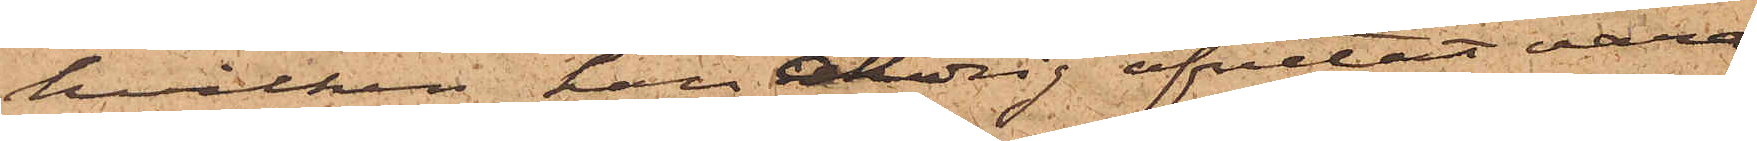hvilken han aldrig afvetat vara
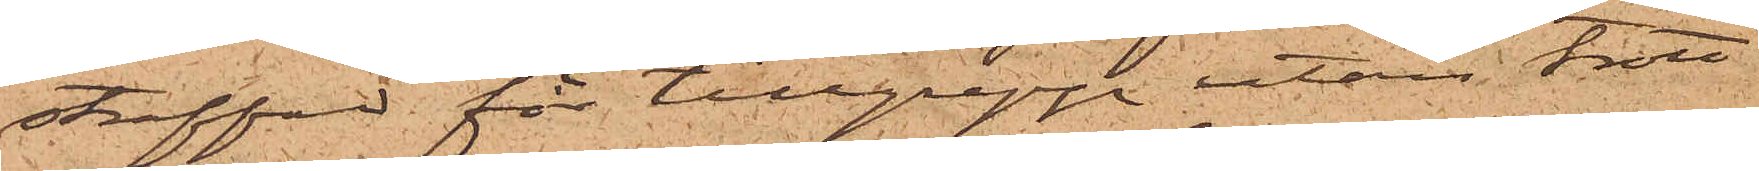straffad för tillgrepp utan trott
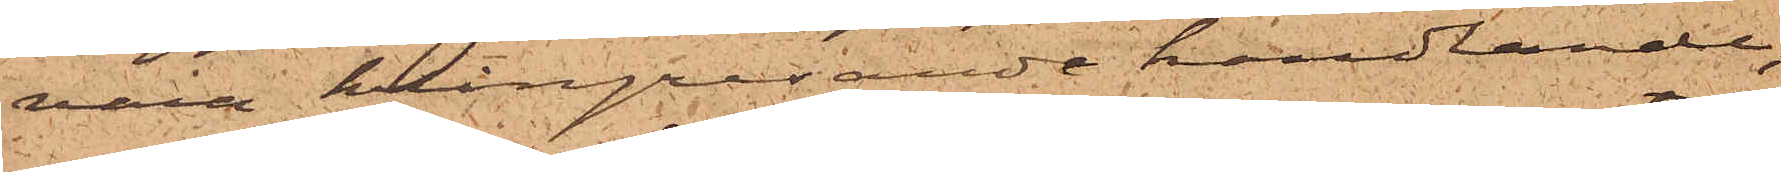vara kringresande handlande,
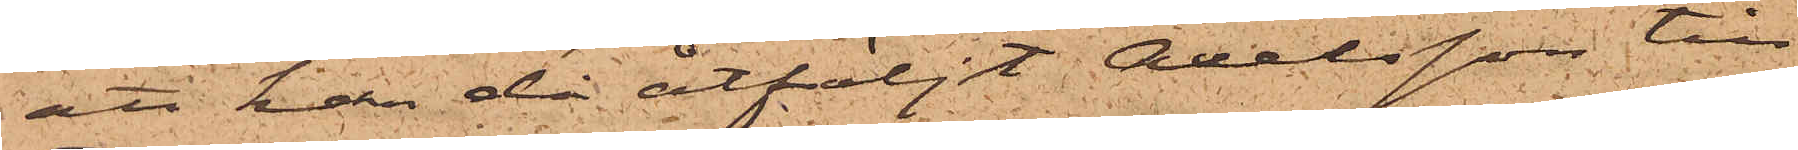att han då åtföljt Axelsson till
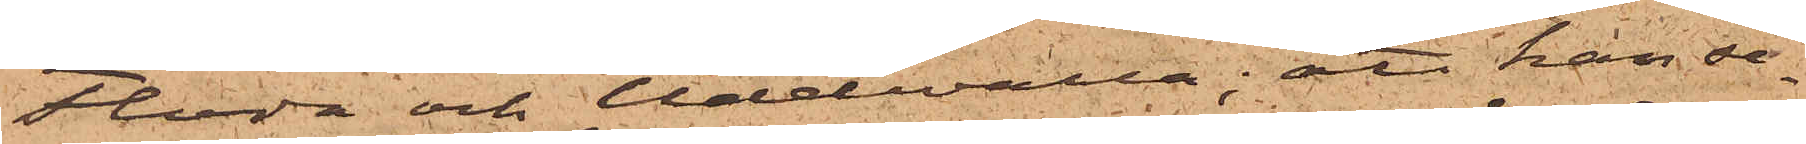Floda och Uddevalla; att han se¬
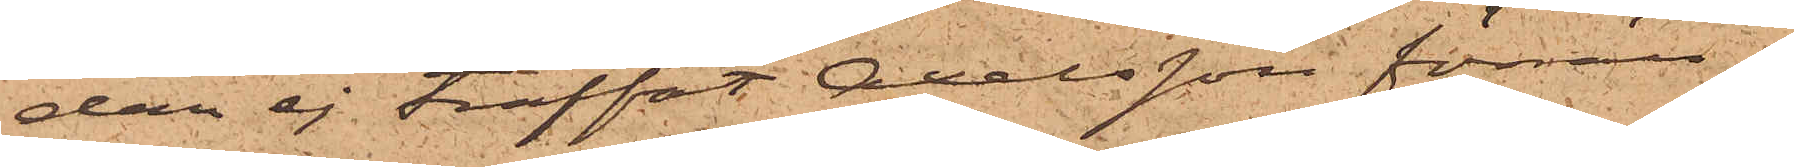dan ej träffat Axelsson förrän
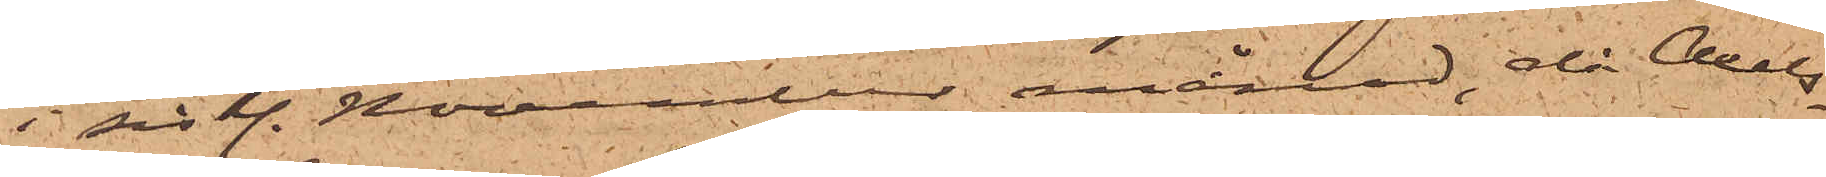i sistl. November månad, då Axels¬
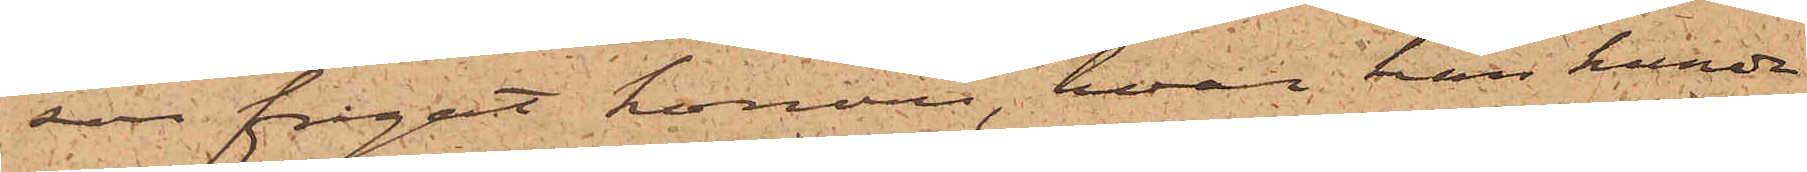son frågat honom, hvar han kunde
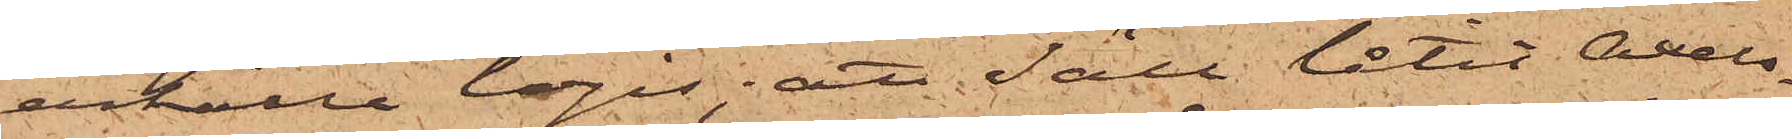erhålla logis; att Säll låtit Axels¬
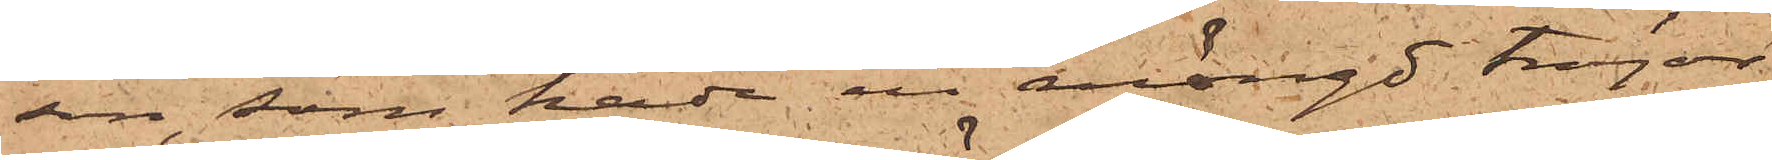son, som hade en mängd tröjor
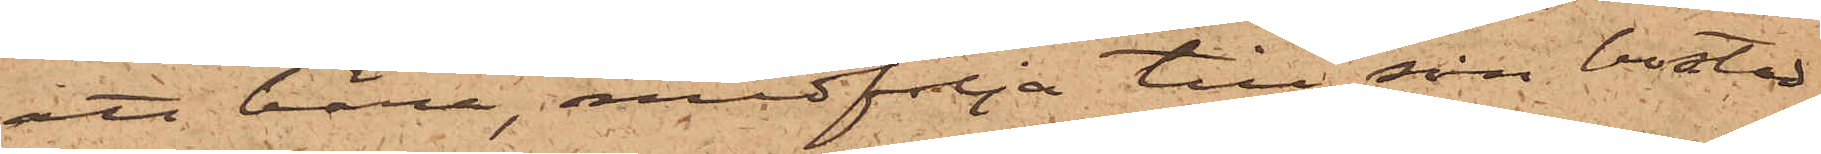att bära, medfölja till sin bostad
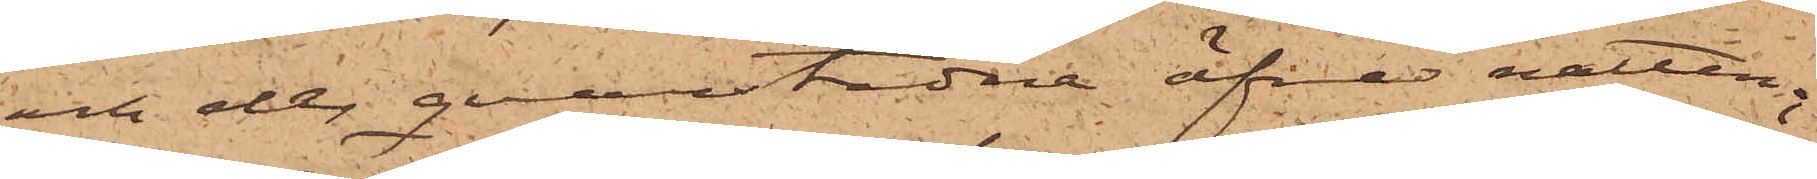och der qvarstadna öfver natten;
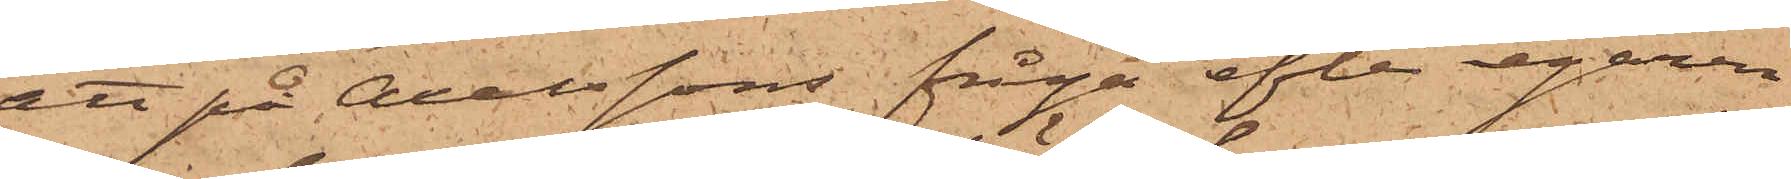att på Axelssons fråga efter egaren
